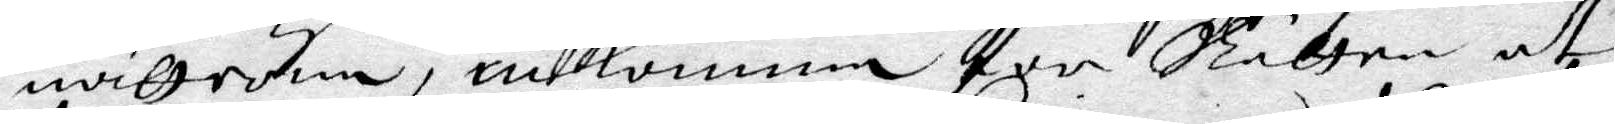nätterne, inkomma för Rätten at
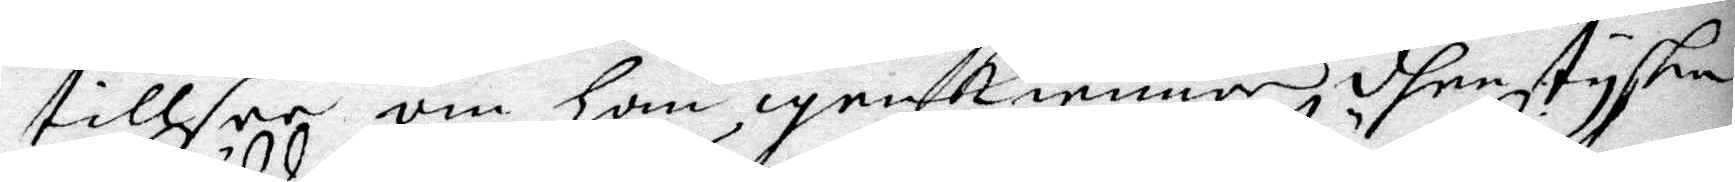tillsee om han igenkienner dhen tyske
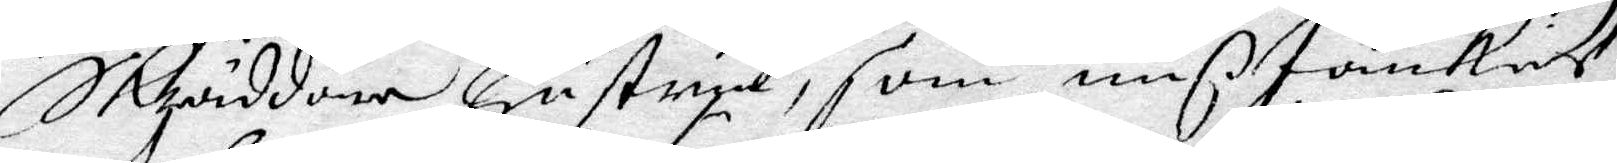Skräddare hustrun, som mißtänkies
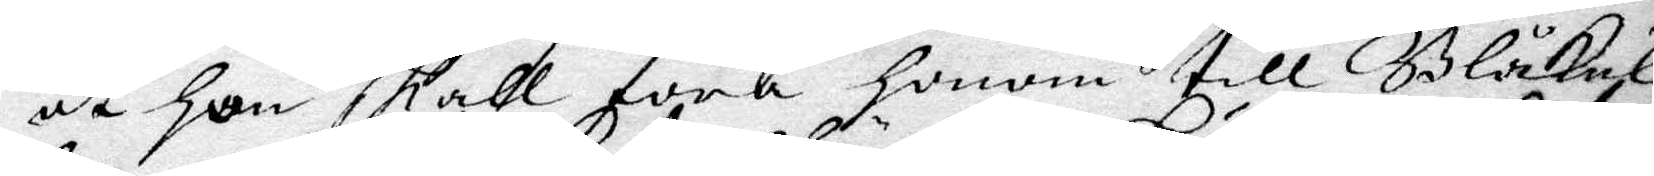at hon skall föra honom till Blåkul¬
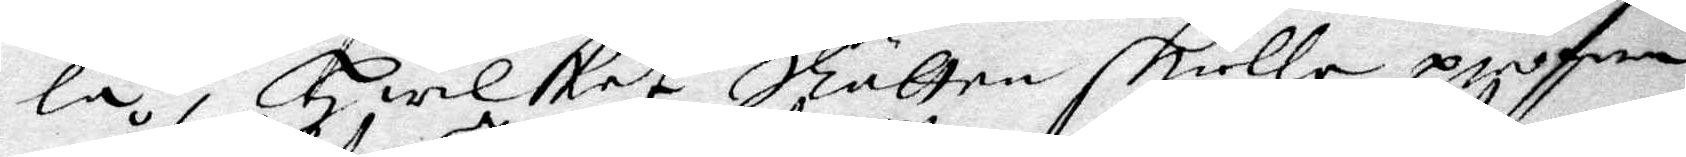la, hwilket Rätten skulle pröfwa
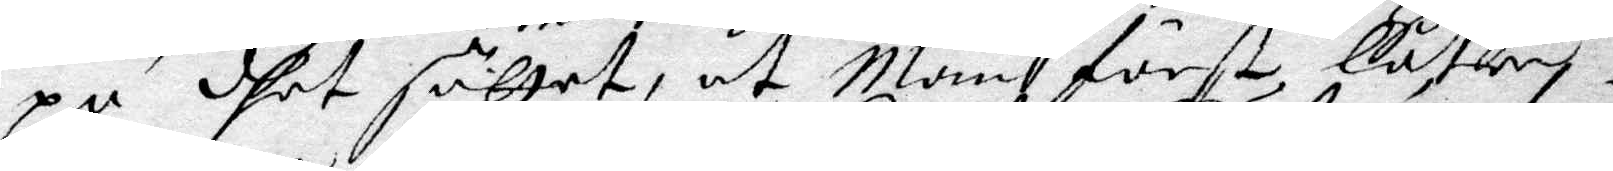på dhet sättet, at man först låter
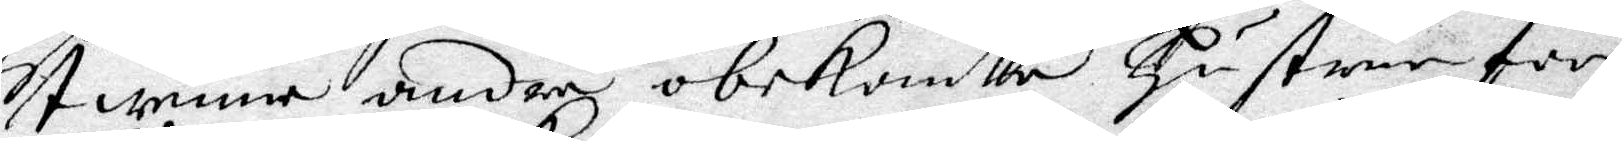twenne andra obekanta hustrur för
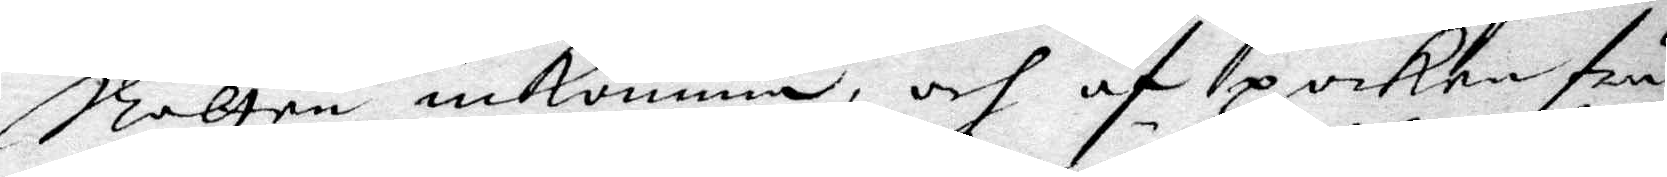Rätten inkomma, och af poiken frå¬
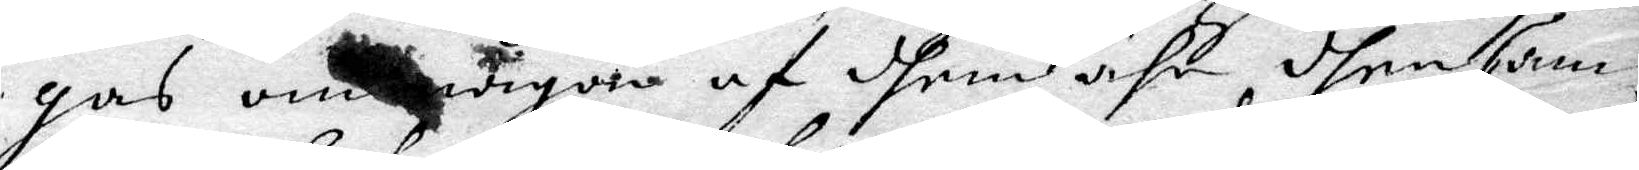gas om någon af dhem ähr dhen sam¬
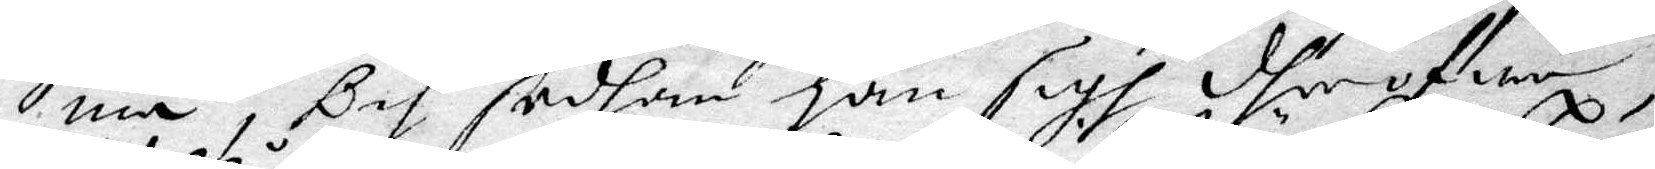ma, Och sedan han sigh dher öfwer
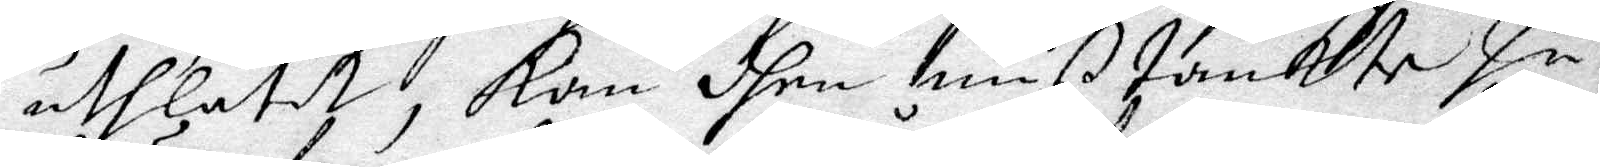uthlåtit, kan dhen mißtänkte hu¬
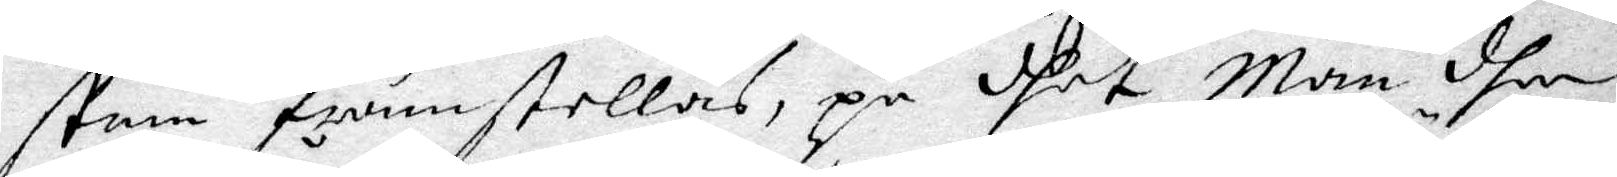strun framstellas,på dhet man dher
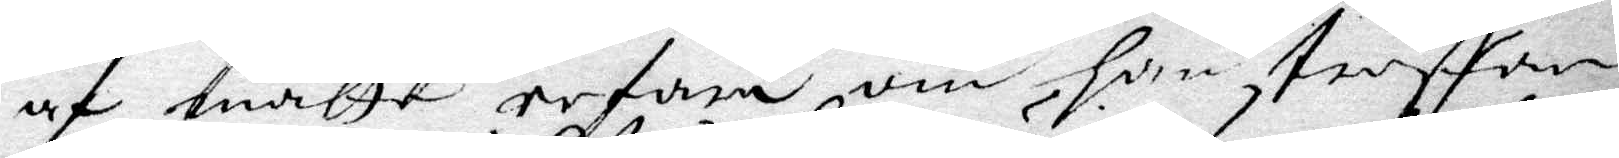af måtte erfara om han traffar
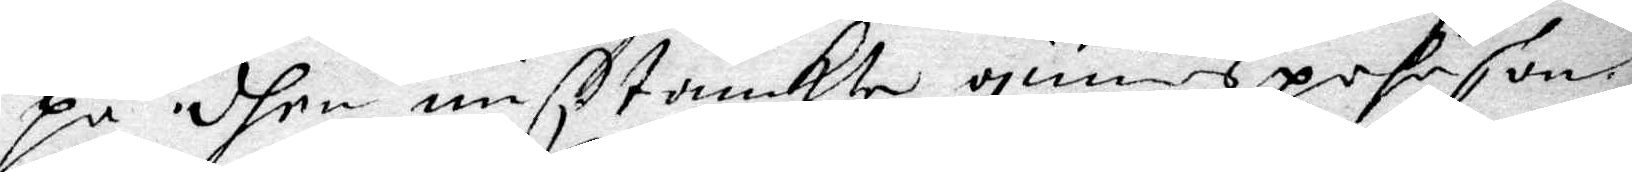på dhen mißtänkte qiunspehrson
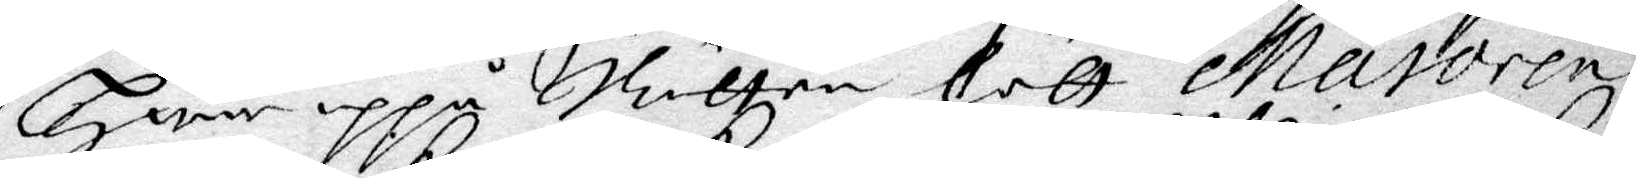Hwar uppå Rätten lätt Maioren
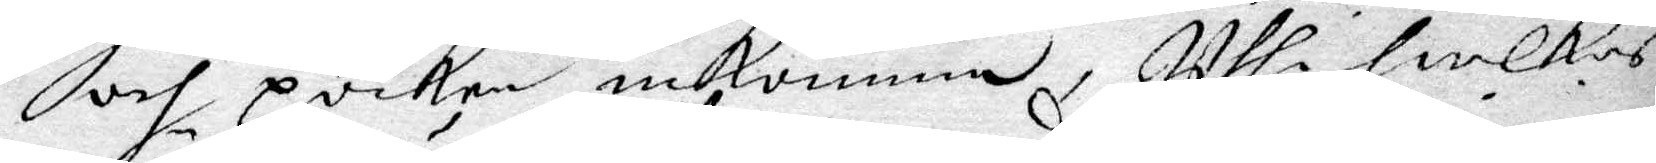och poiken inkomma, Uthi hwilkas
